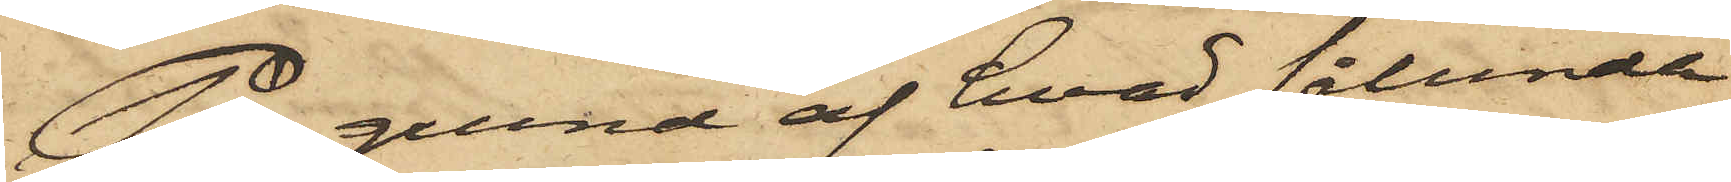På grund af hvad sålunda
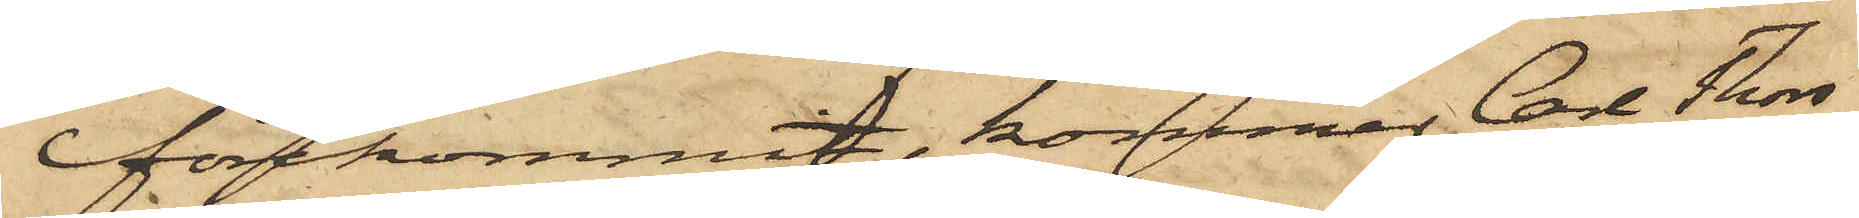förekommit, kommer Carl Thors¬
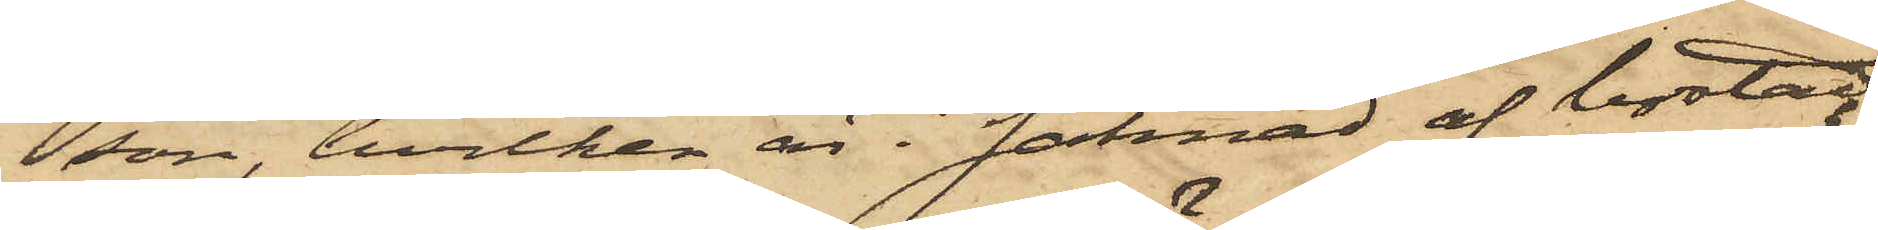son, hvilken är i saknad af bostad,
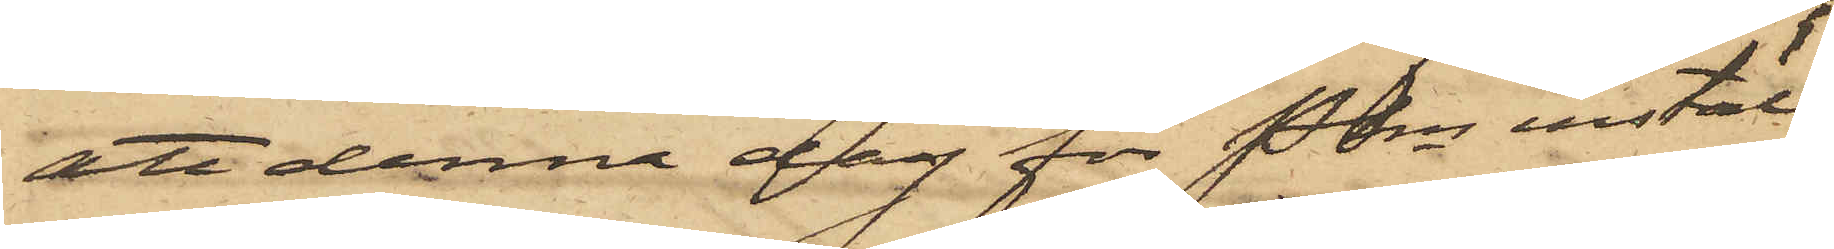att denna dag för Pkn inställ¬
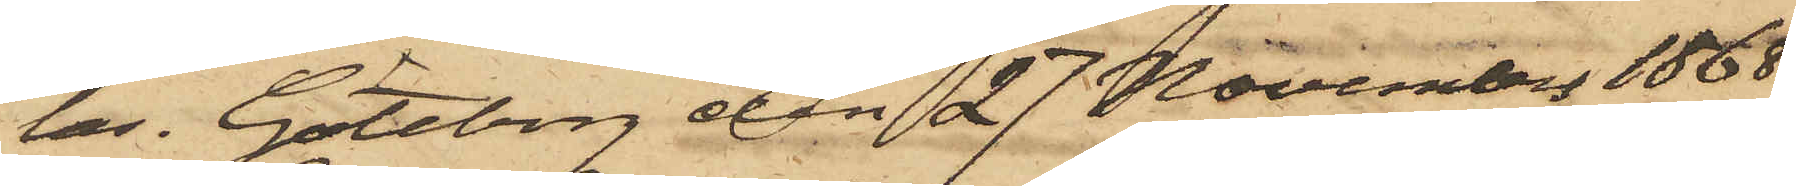las. Göteborg den 27 November 1868
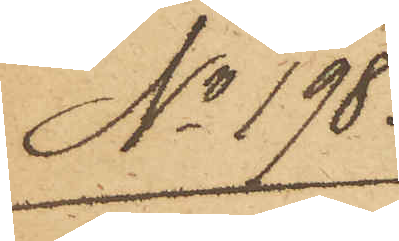No 198.
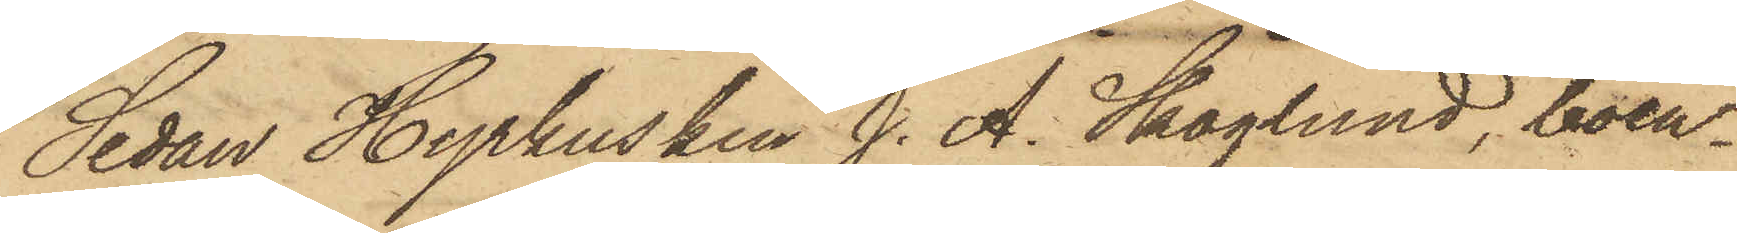Sedan Hyrkusken J. A. Skoglund, boen¬
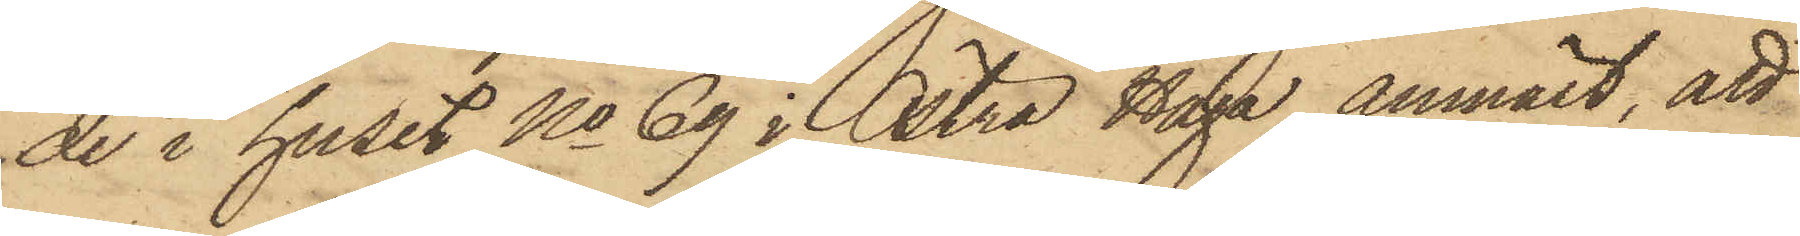de i huset No 69 i Östra Haga, anmält, att
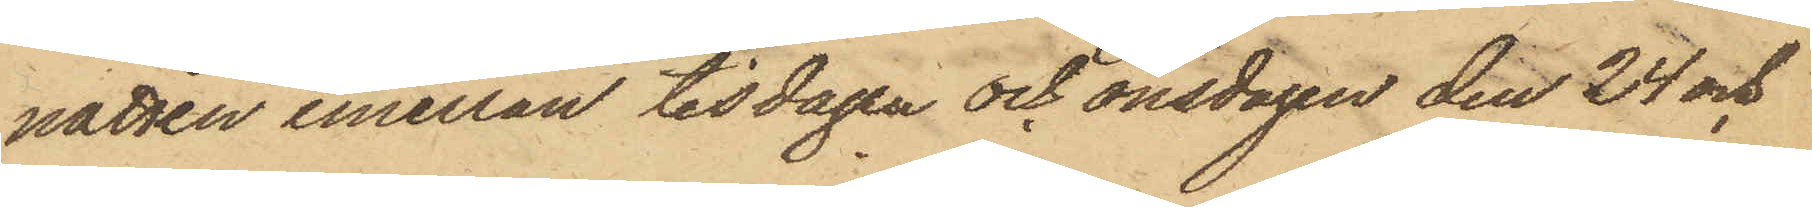natten emellan tisdagen och onsdagen den 24 och
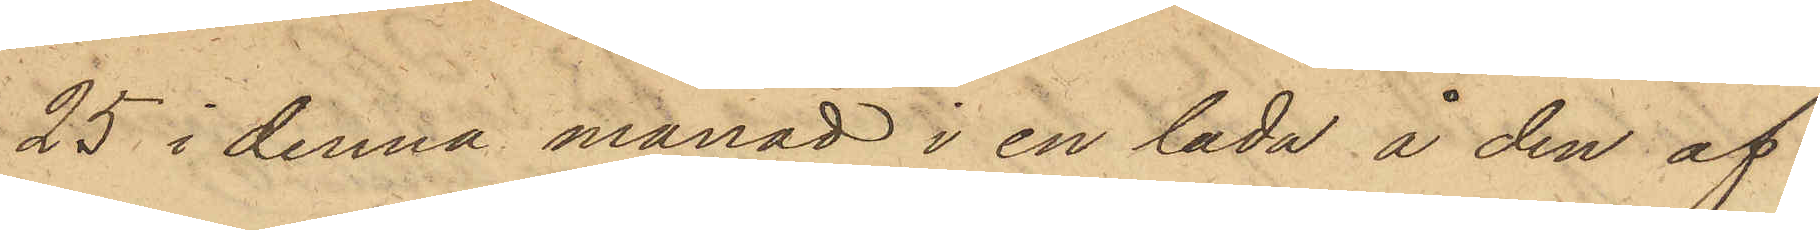25 i denna månad i en lada å den af
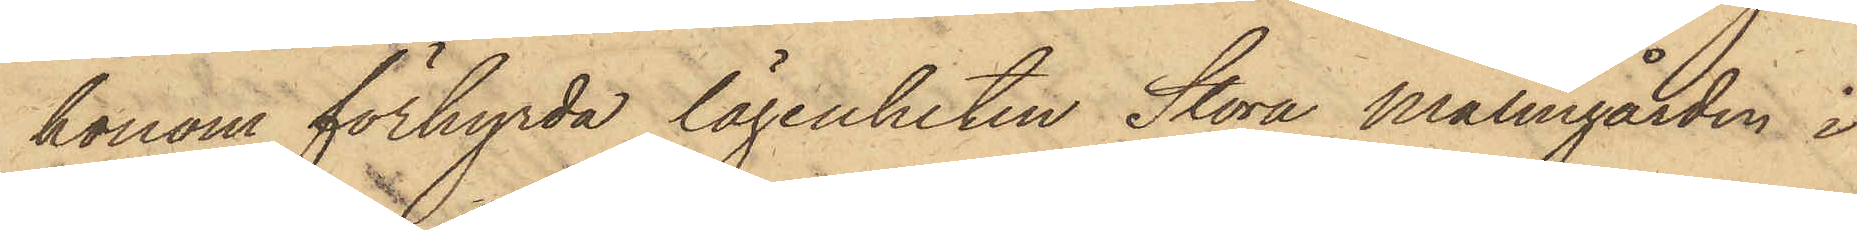honom förhyrda lägenheten Stora Malmgården i
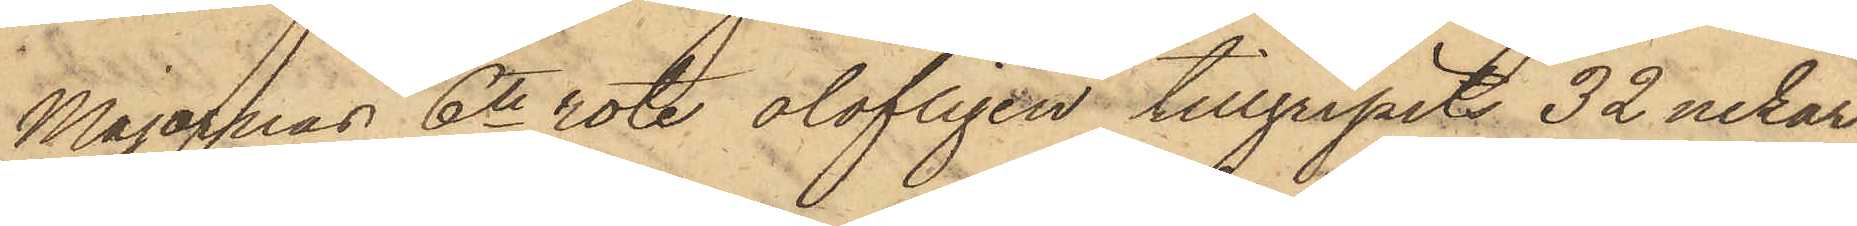Majornas 6te rote, olofligen tillgripits 32 nekar
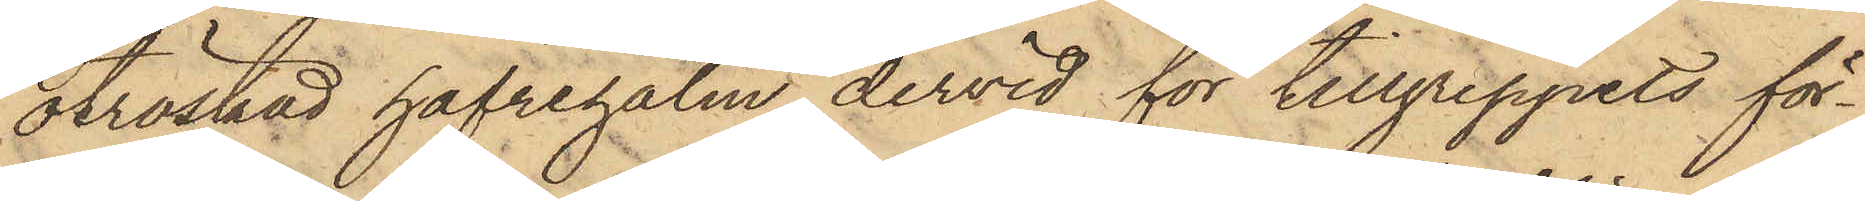otröskad hafrehalm, dervid för tillgreppets för¬
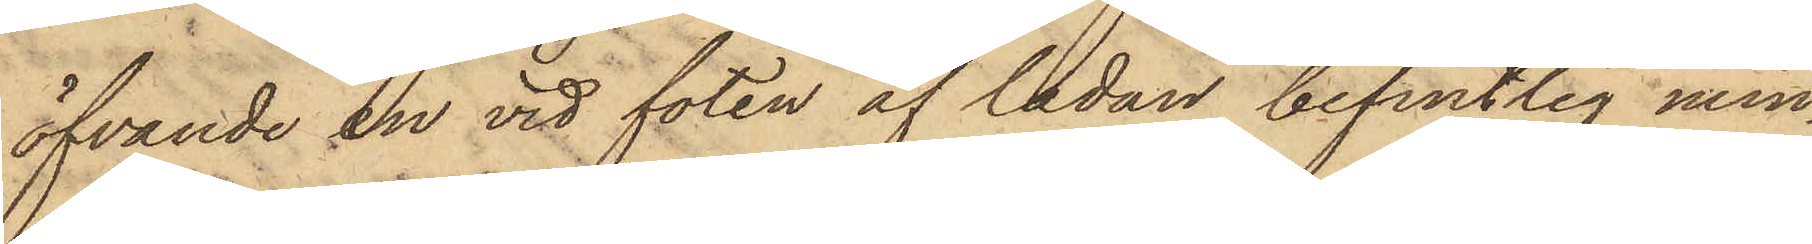öfvande en vid foten af ladan befintlig min¬
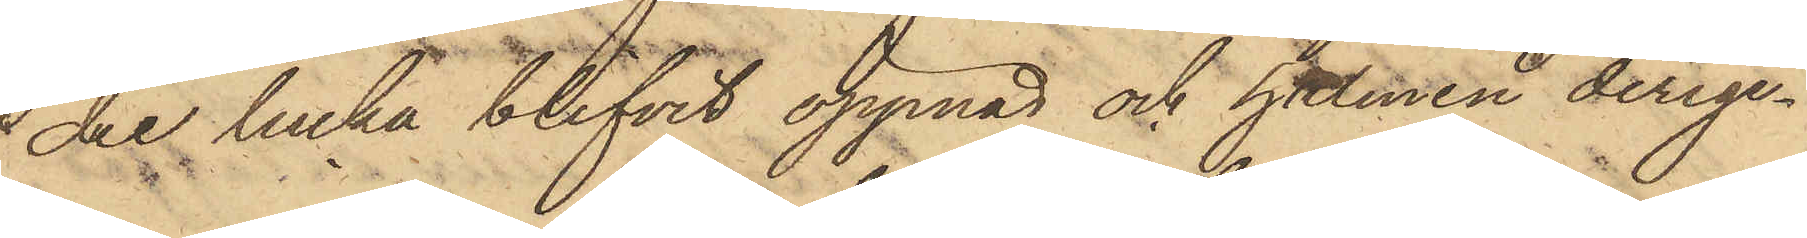dre lucka blifvit öppnad och halmen derige¬
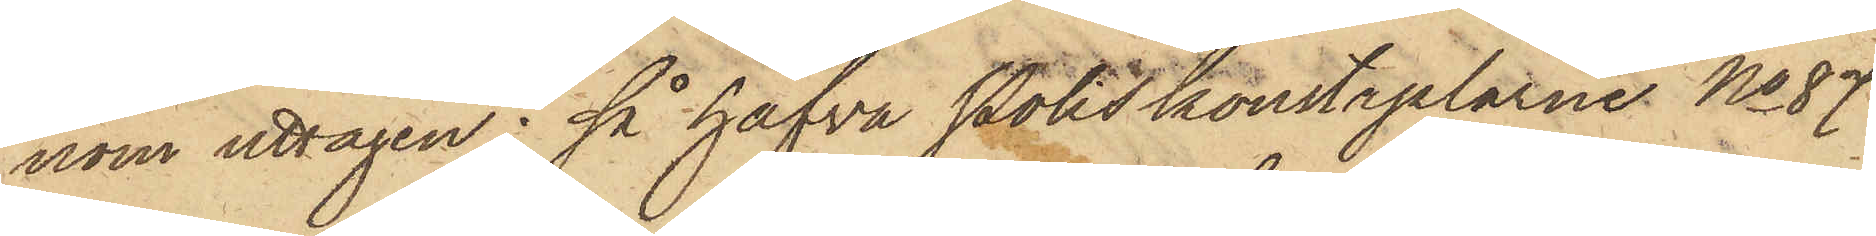nom uttagen; så hafva Poliskonstaplarne No 87
